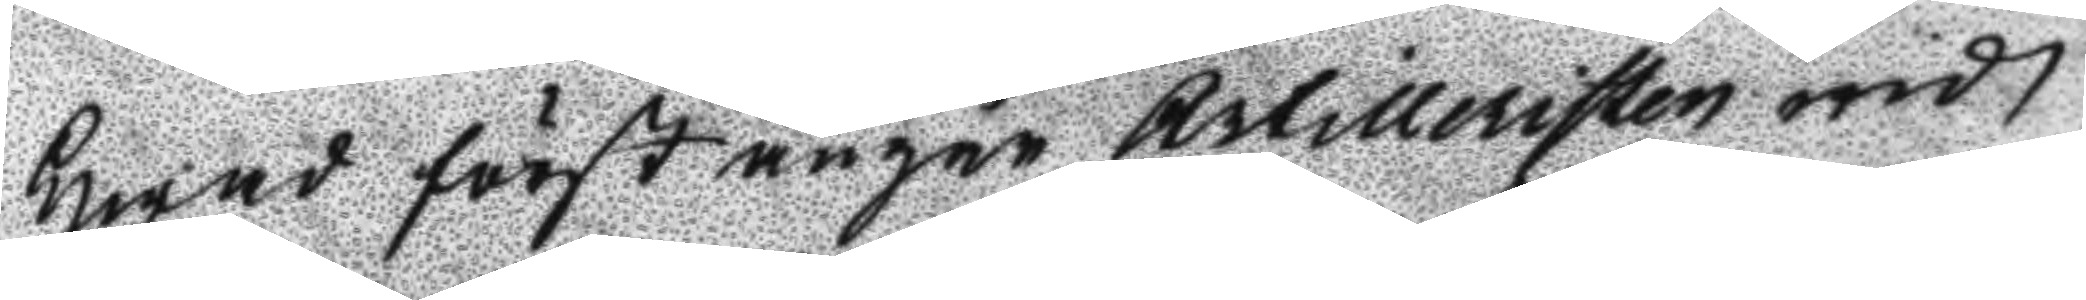Hwad först angår Artilleristen wid
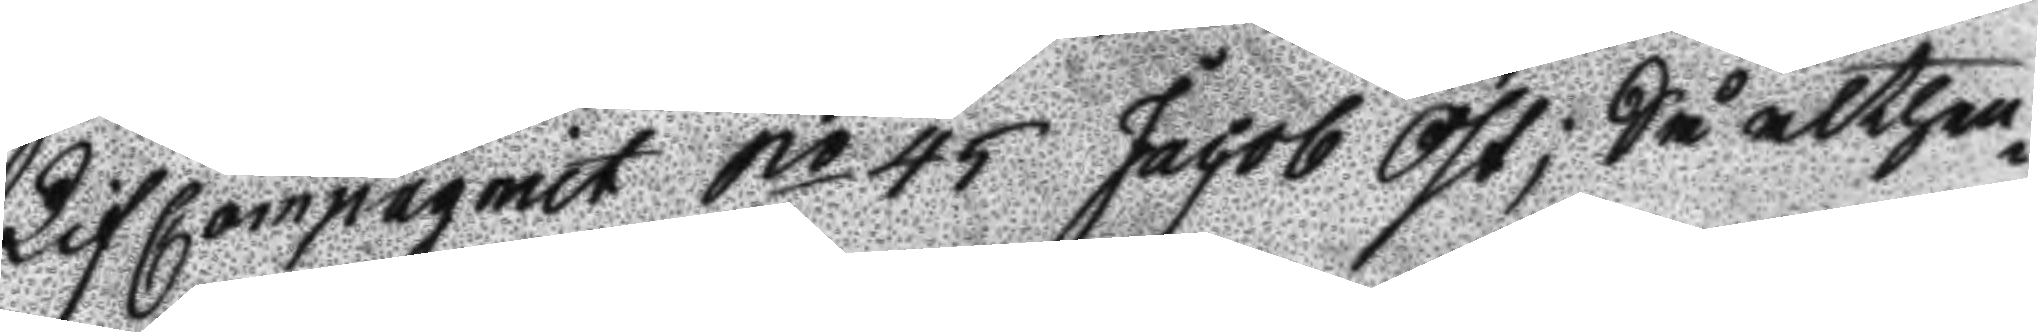LifCompagniet No 45 Jacob Öst; Så althen¬
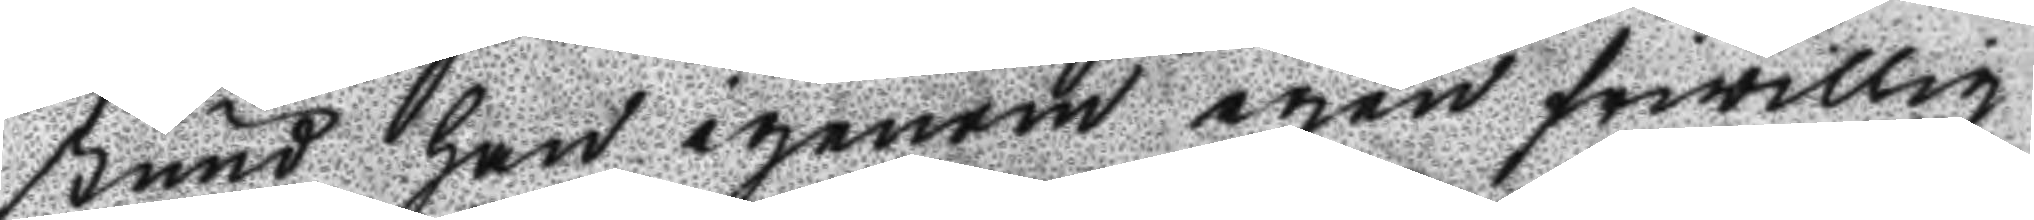stund han igenom egen frivillig
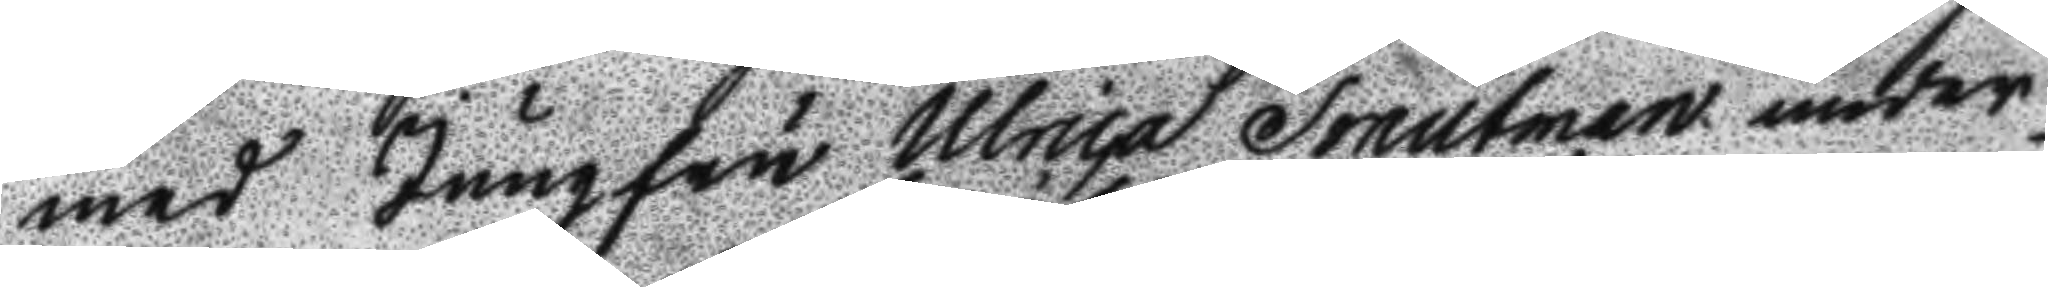med Jungfru Ulrica Fonutman under  
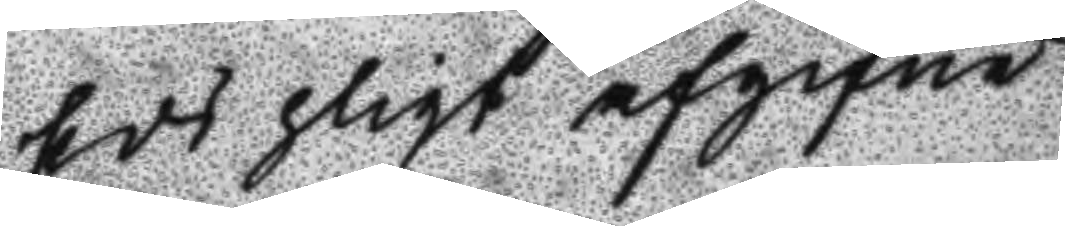Eds pligt afgifne
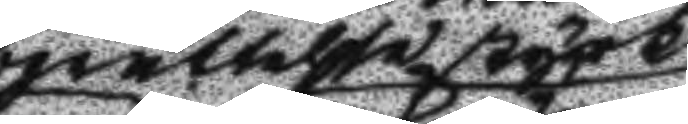berättelse styrkt
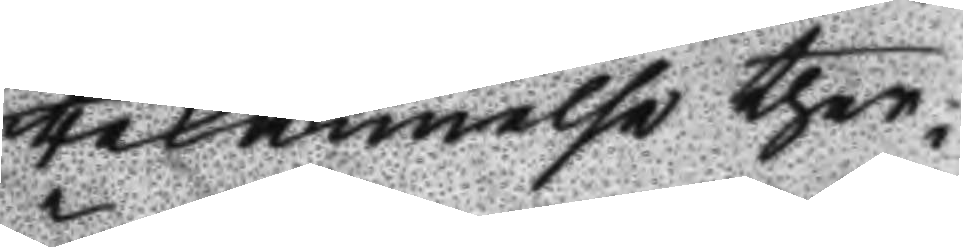bekännelse ther
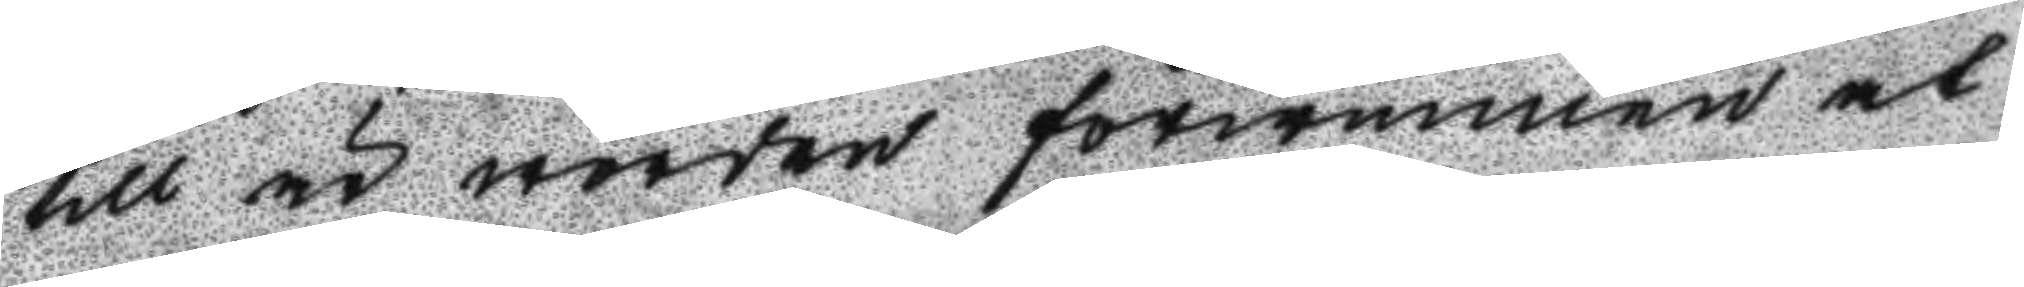till är worden förwunnen at
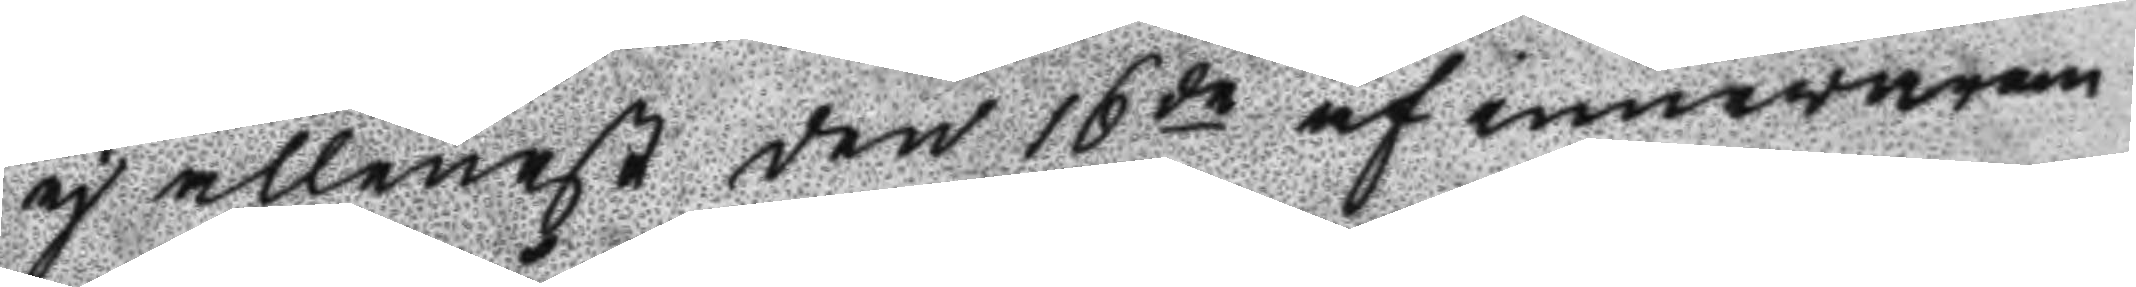ej allenast den 16de af innewaran¬
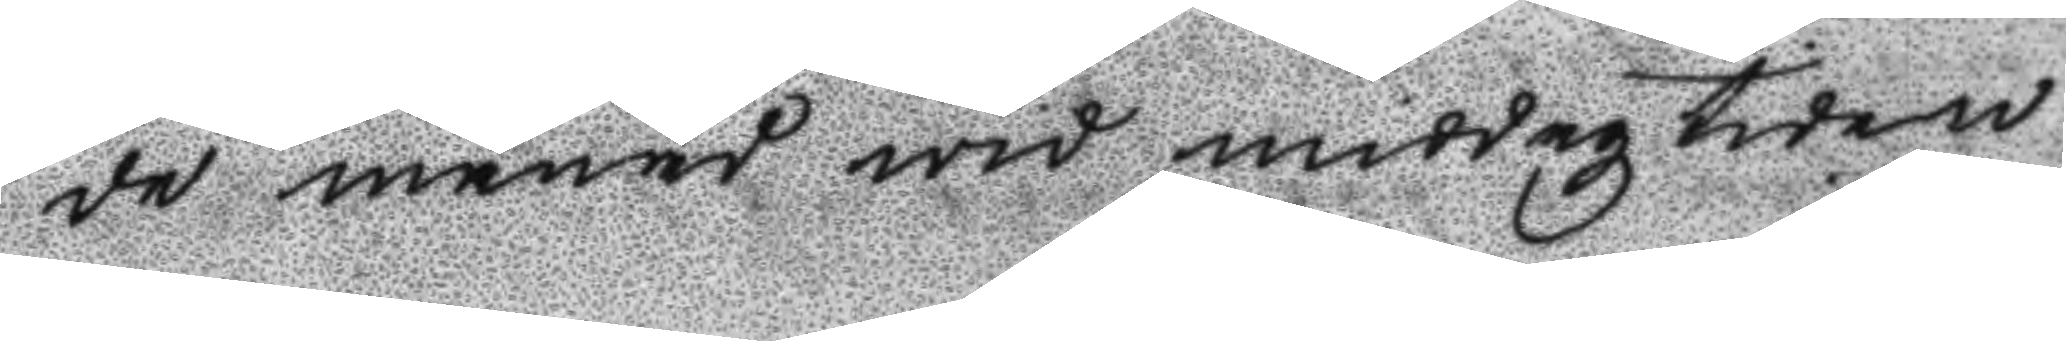de månad wid middagz tiden
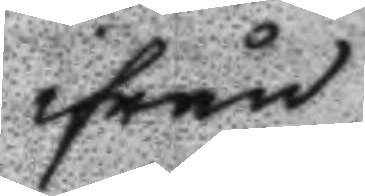ifrån
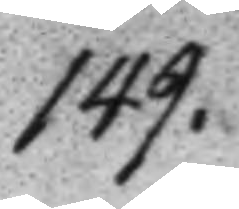149.
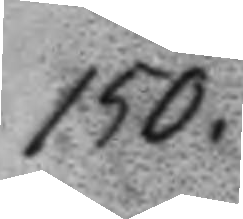150.
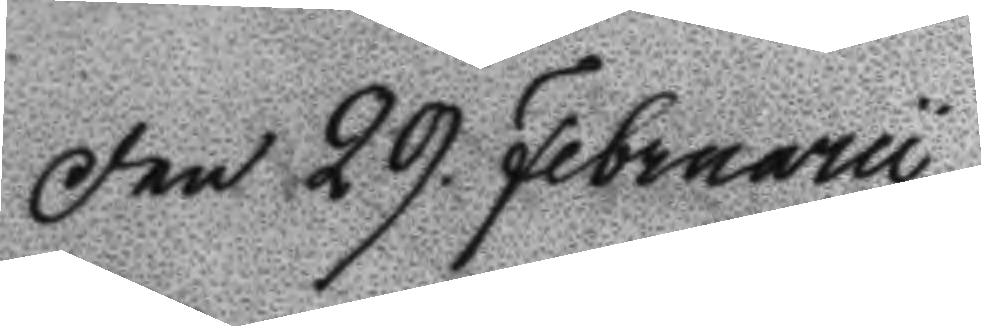Den 29. Februarii
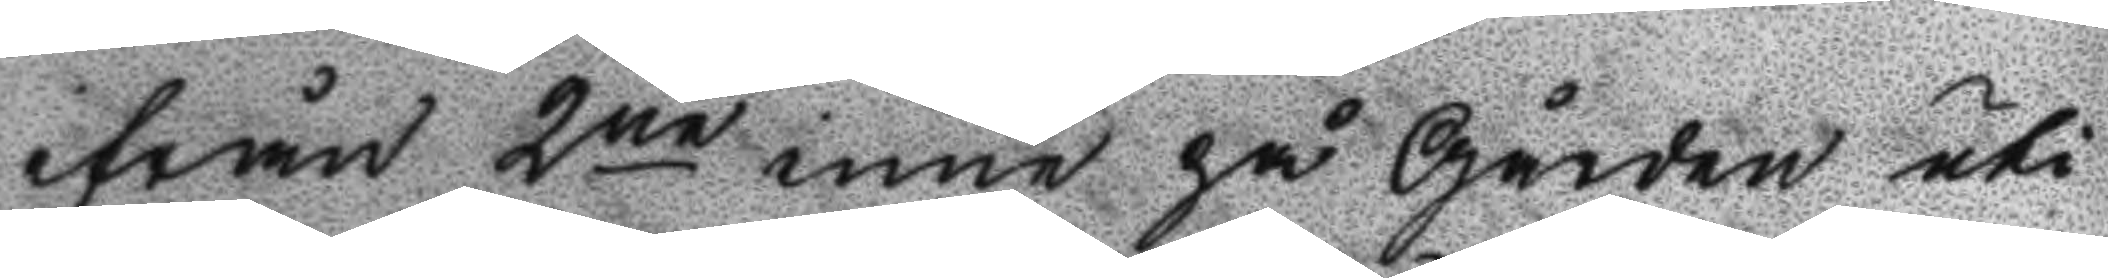ifrån 2ne inne på Gården uti
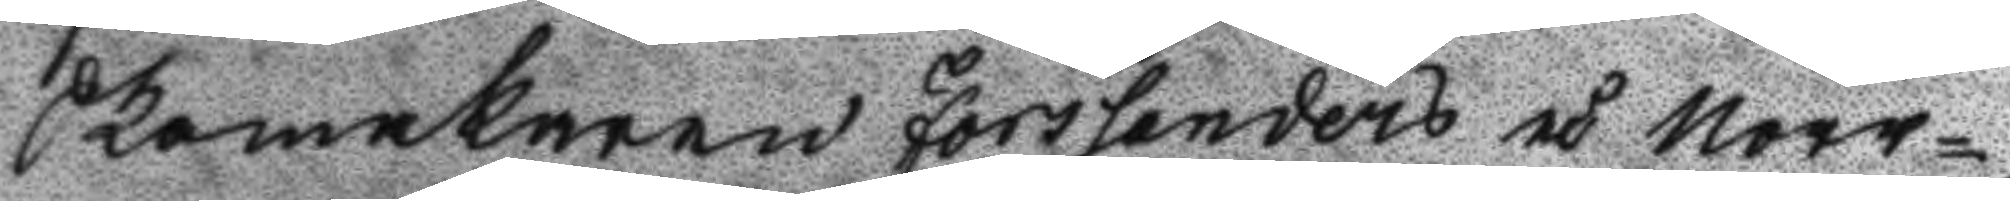Skomakaren Forslanders å Norr¬
